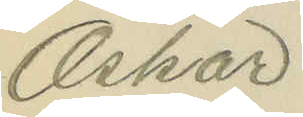Oskar
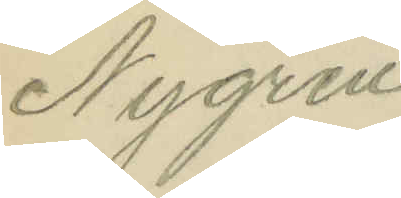Nygren
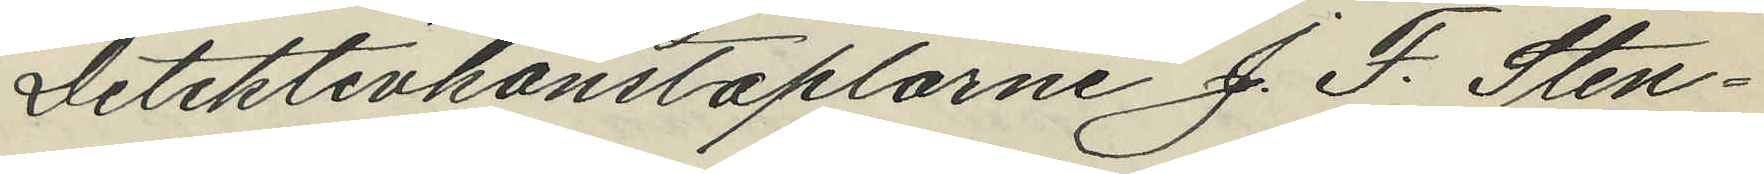Detektivkonstaplarne J. F. Sten¬
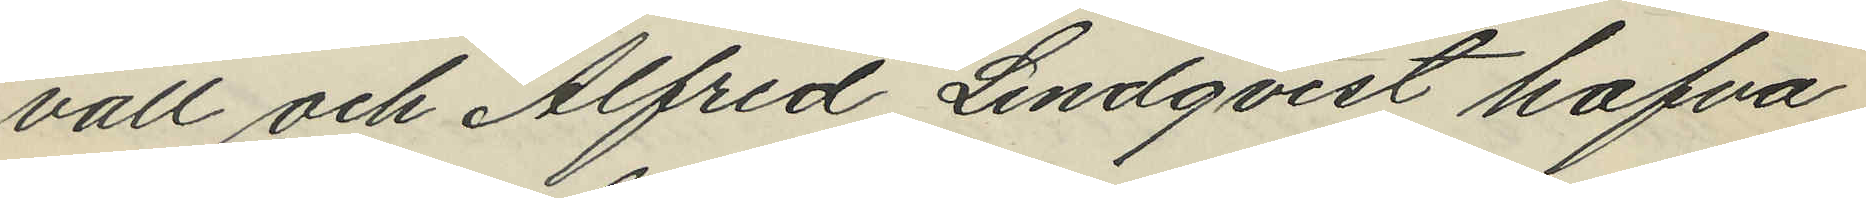vall och Alfred Lindqvist hafva
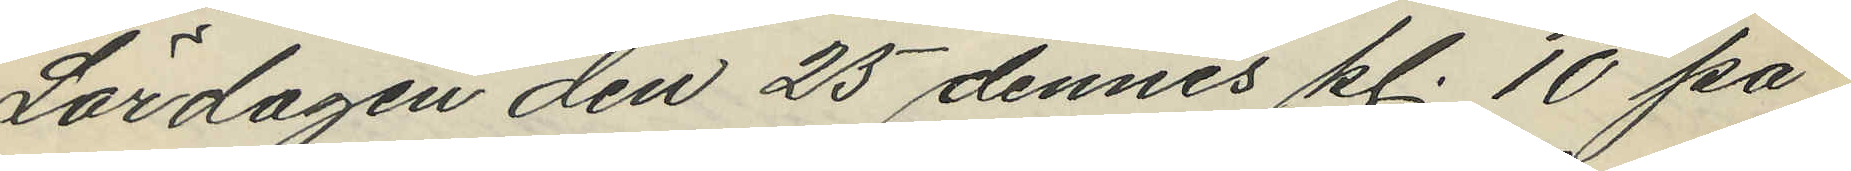Lördagen den 25 dennes kl. 10 på
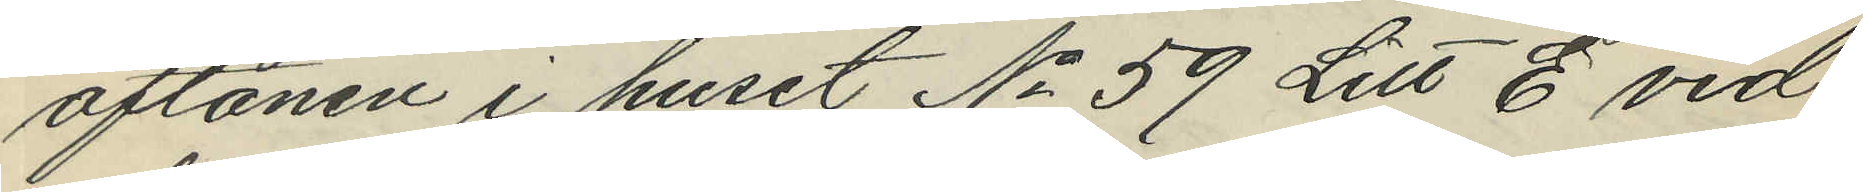aftonen i huset No 59 Litt E vid
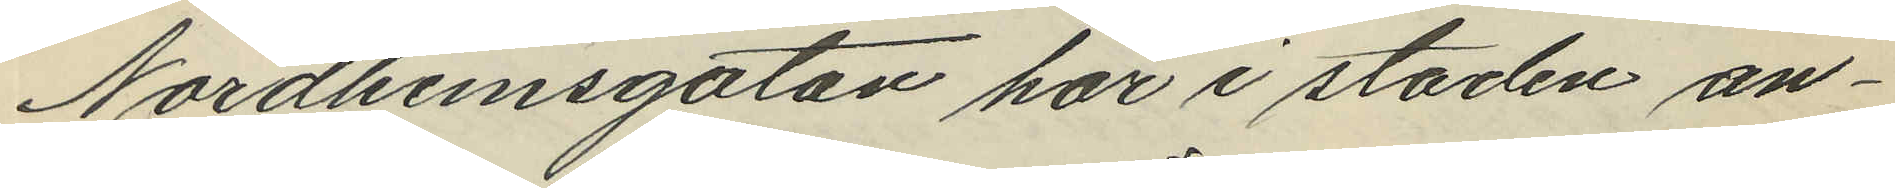Nordhemsgatan här i staden an¬
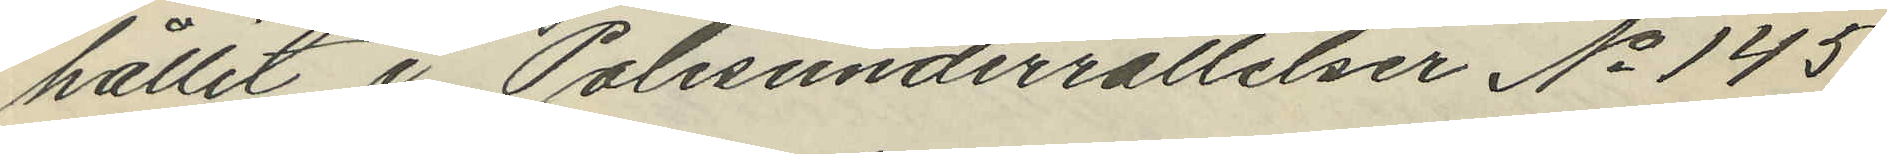hållit i Polisunderrättelser No 145
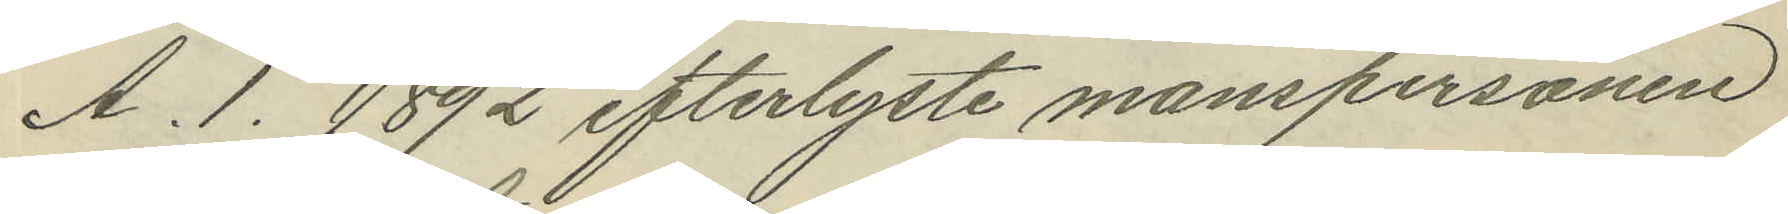A. 1. 1892 efterlyste manspersonen
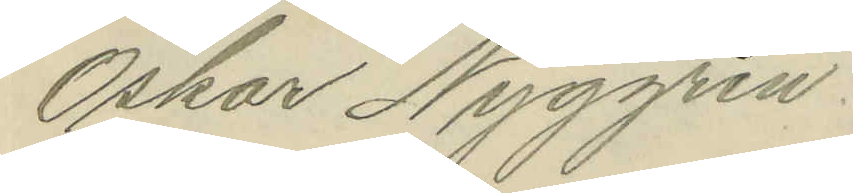Oskar Nyggren.
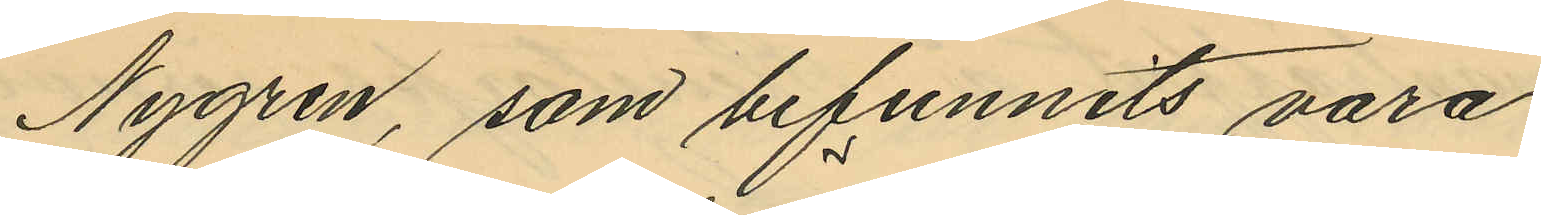Nygren, som befunnits vara
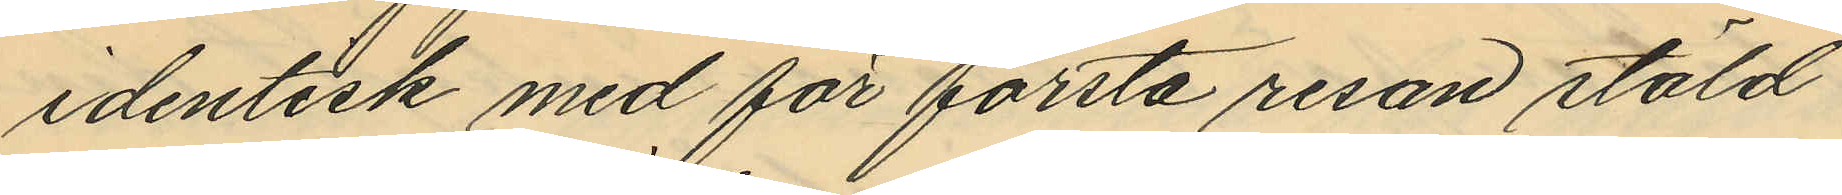identisk med för första resan stöld
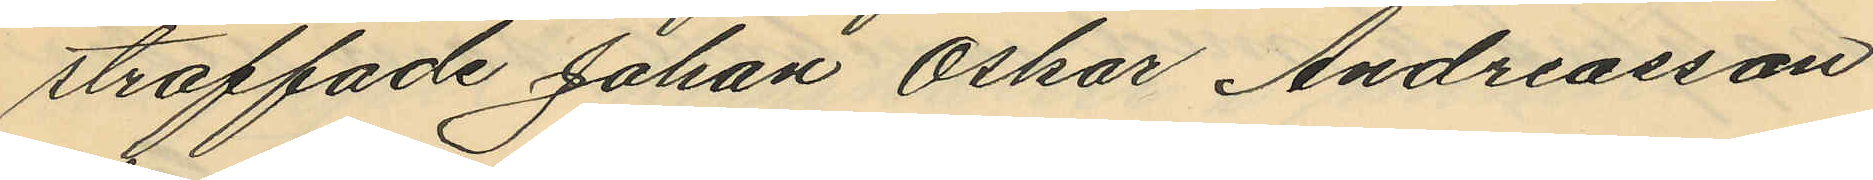straffade Johan Oskar Andreasson
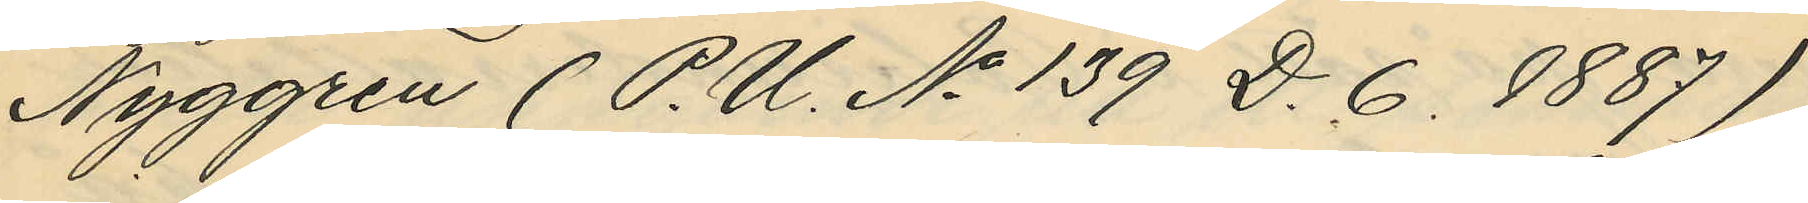Nyggren (P.U. No 139 D. 6. 1887)
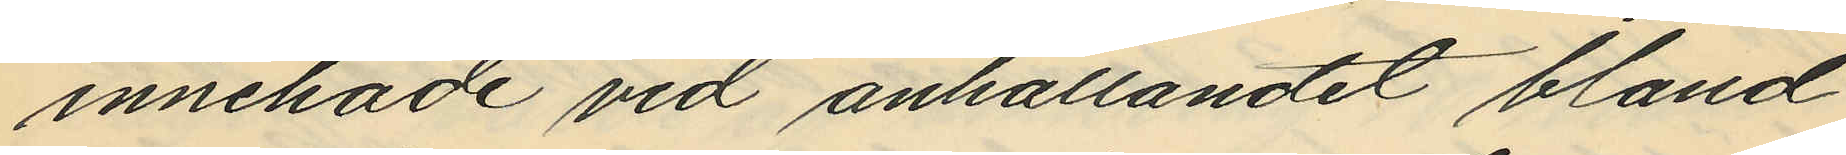innehade vid anhållandet bland
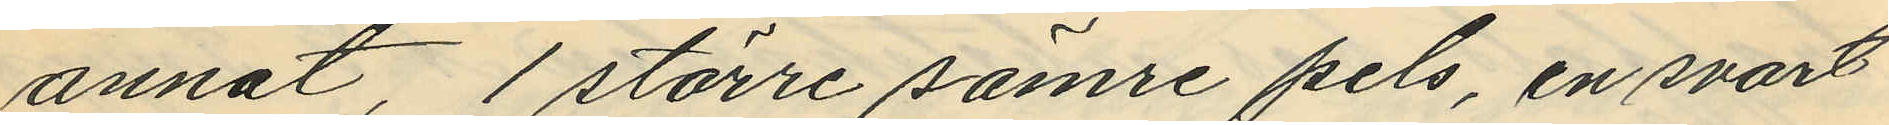annat, 1 större sämre pels, en svart
